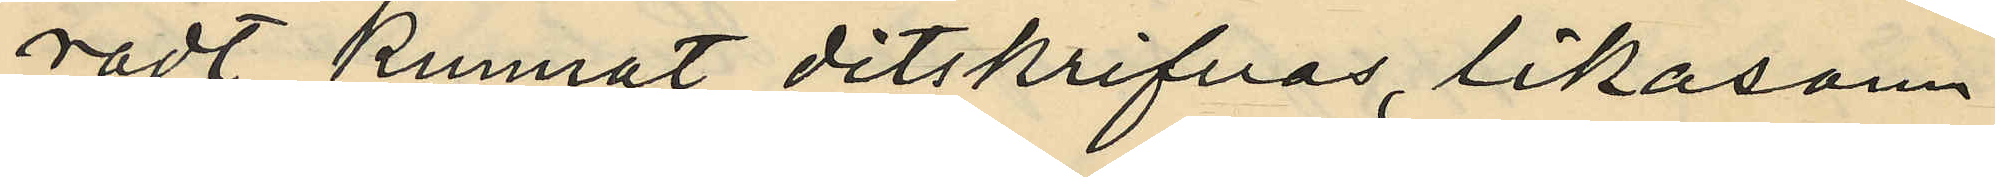radt kunnat ditskrifvas, likasom
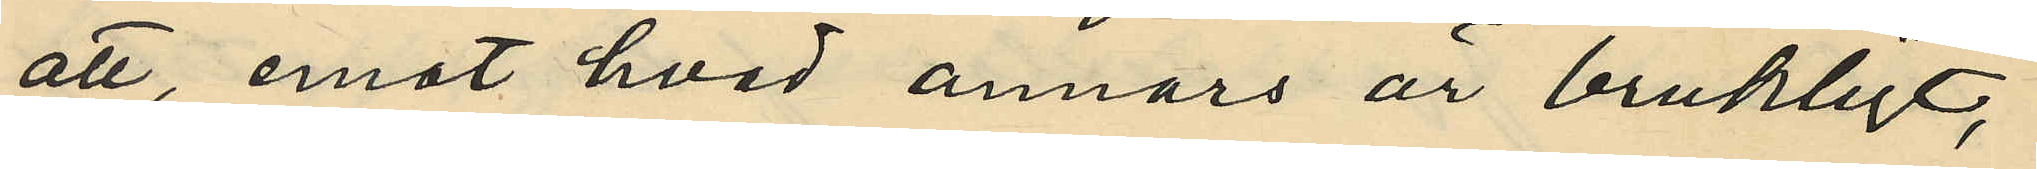att, emot hvad annars är brukligt,
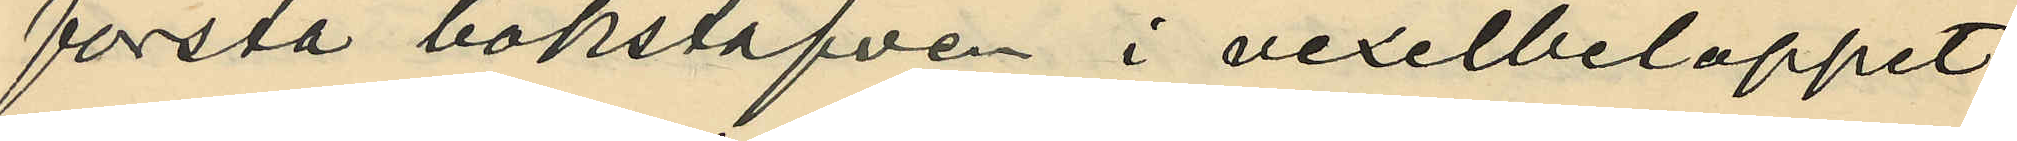första bokstafven i vexelbeloppet
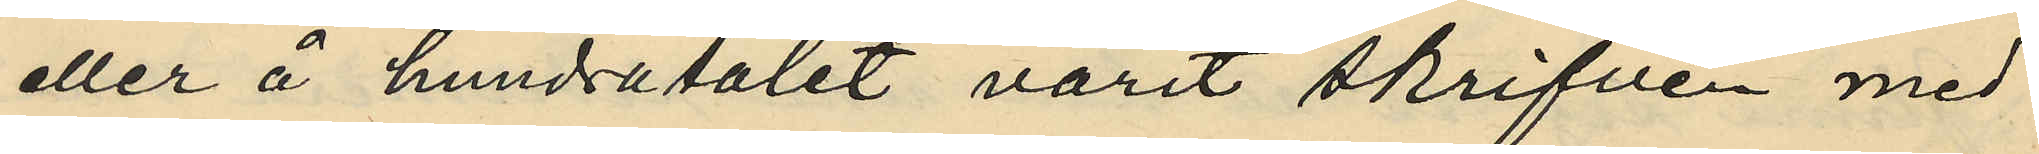eller å hundratalet varit skrifven med
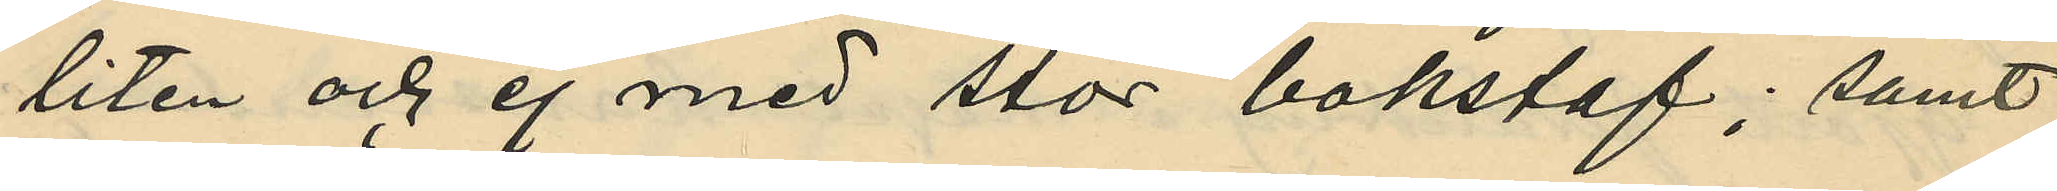liten och ej med stor bokstaf; samt
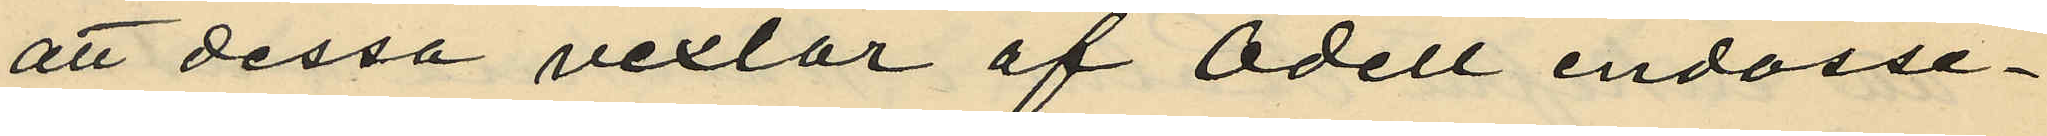att dessa vexlar af Odell endosse¬
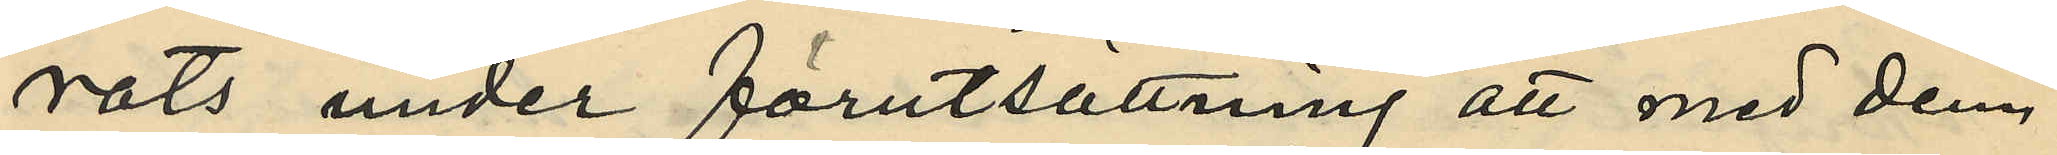rats under förutsättning att med dem
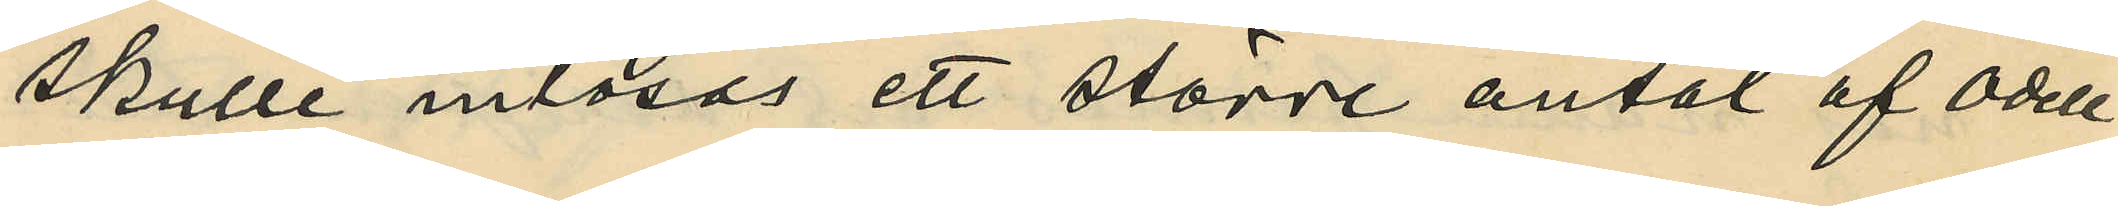skulle inlösas ett större antal af Odell
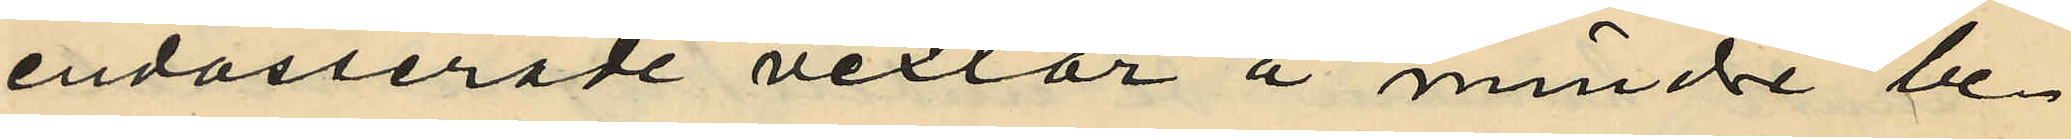endosserade vexlar å minde be¬
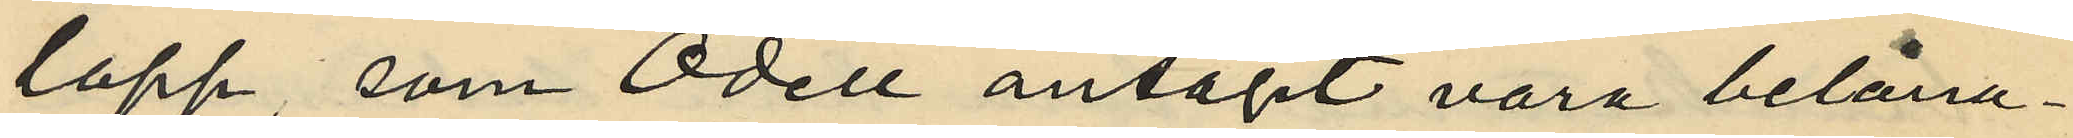lopp, som Odell antagit vara belåna¬
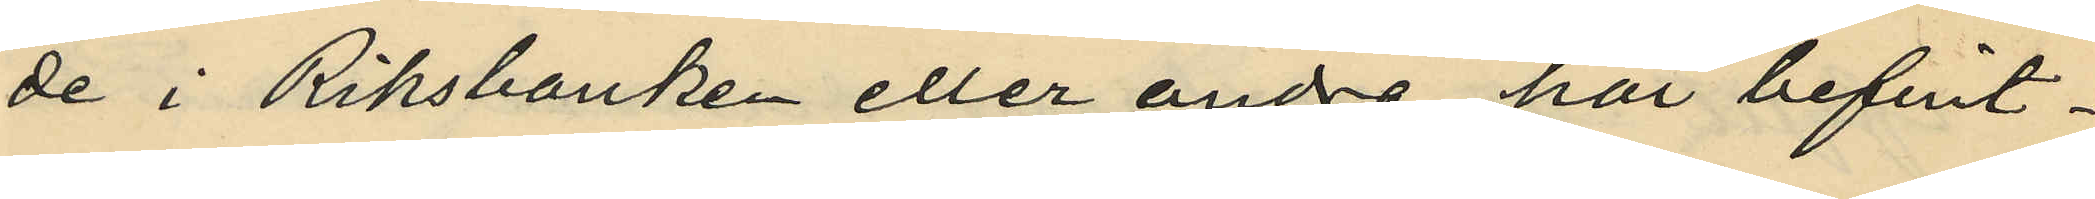de i Riksbanken eller andra här befint¬
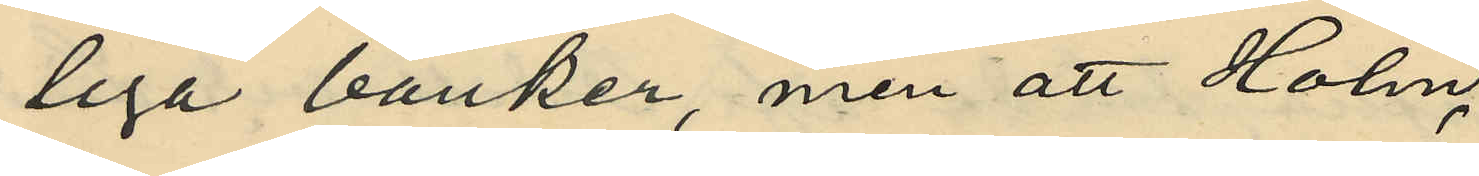liga banker, men att Holm
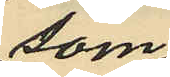som
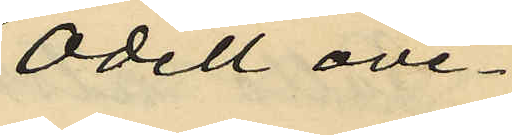Odell ove¬
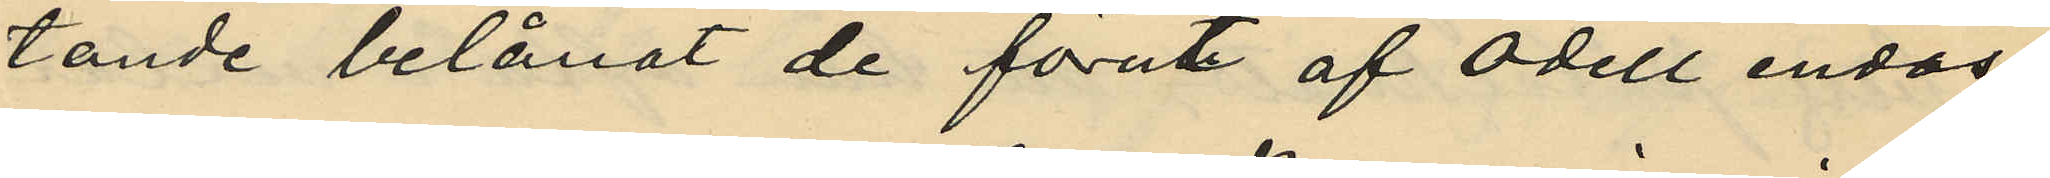tande belånat de förut af Odell endos¬
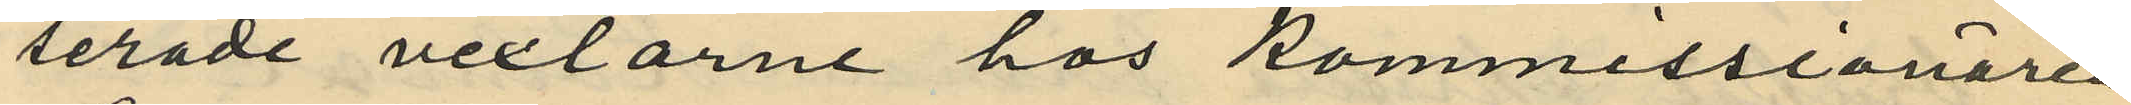serade vexlarne hos Kommissionären
